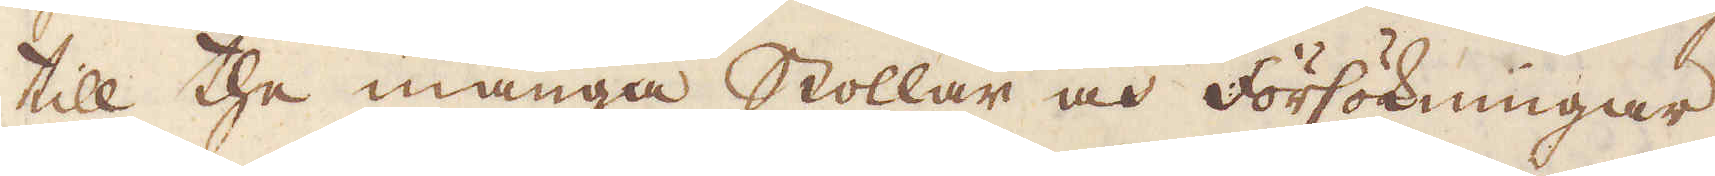till the många stollar och försökningar
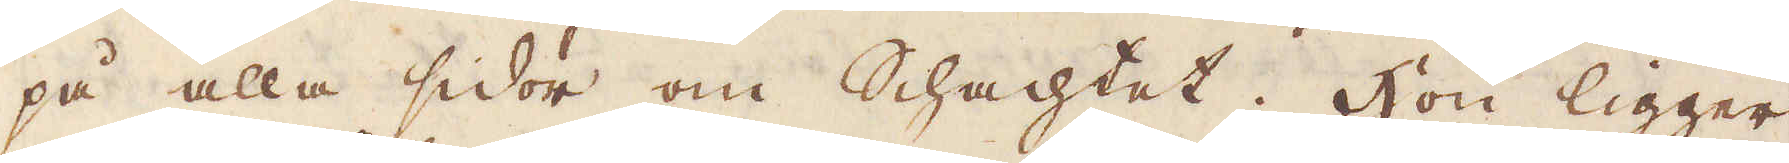på alla sidor om schachtet. Hon ligger
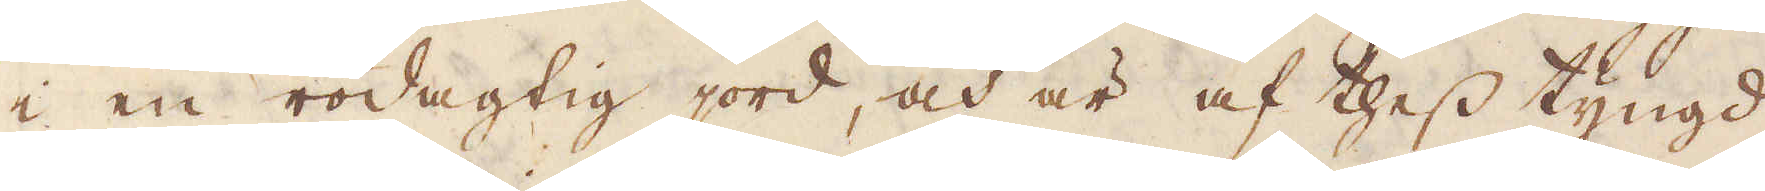i en rödagtig jord, och är af thess tyngd
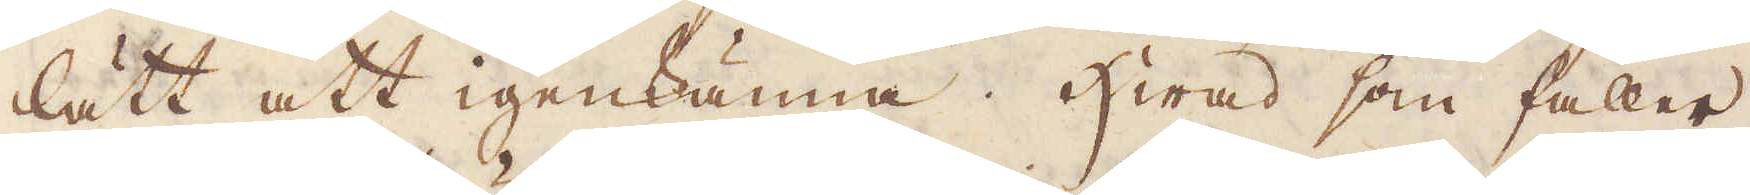lätt att igenkänna. Hwad som faller
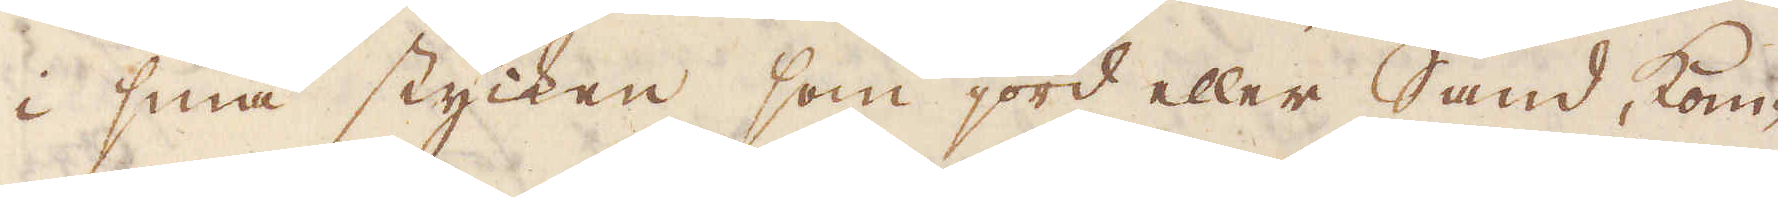i små stycken som jord eller Sand, kom-
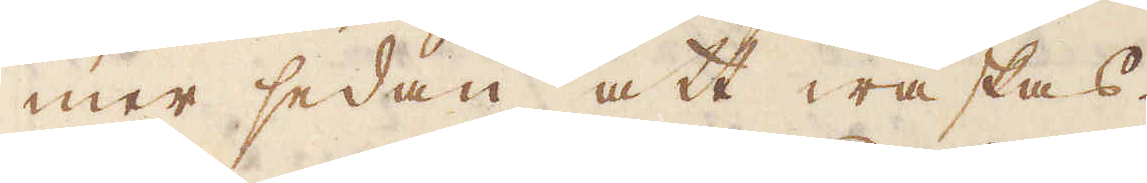mer sedan att waskas.
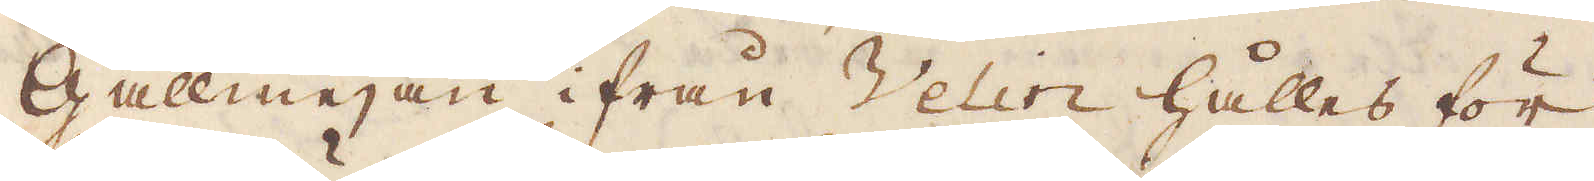Gallmejan ifrån Velin hålles för
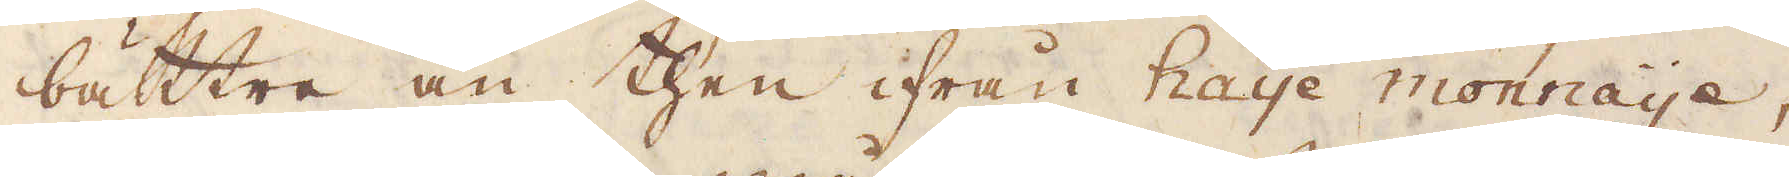bättre än then ifrån Haye monnaye,
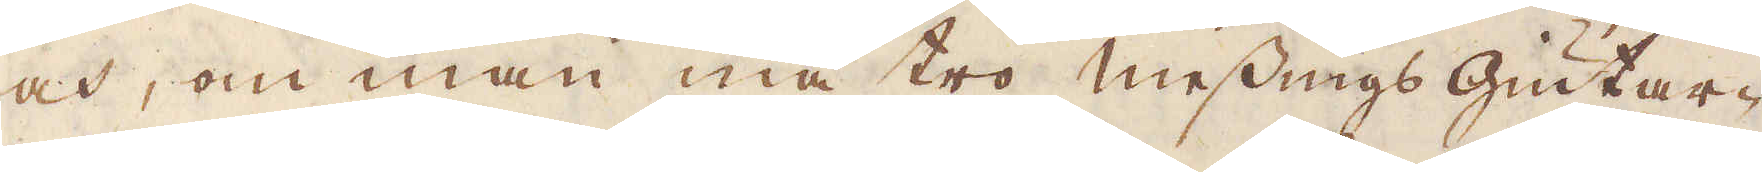och, om man må tro messings Giutar-
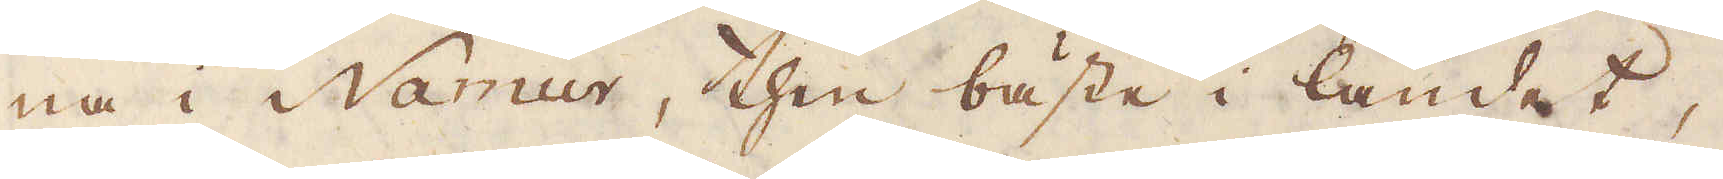na i namur, then bästa i landet,
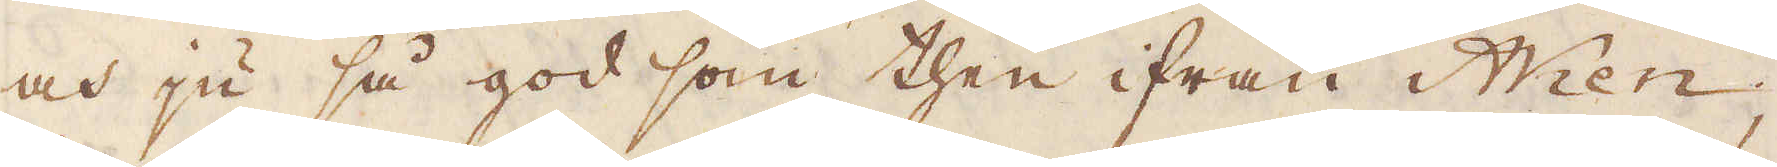och ju så god som then ifrån Wien;
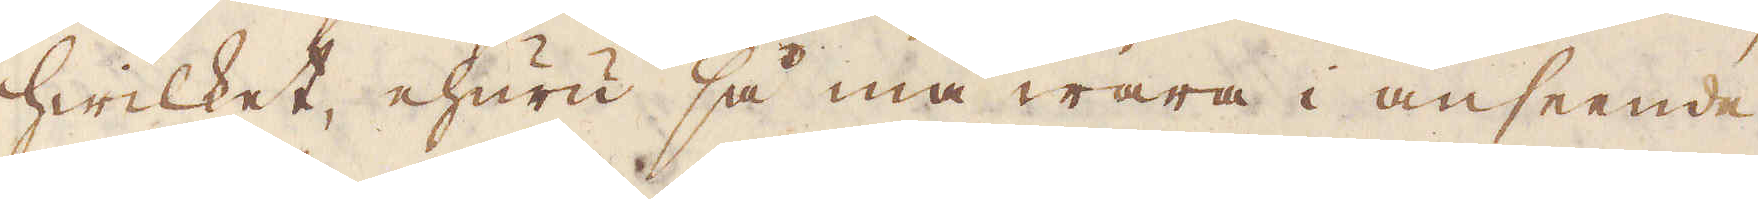hwilket ehuru så må wara i anseende
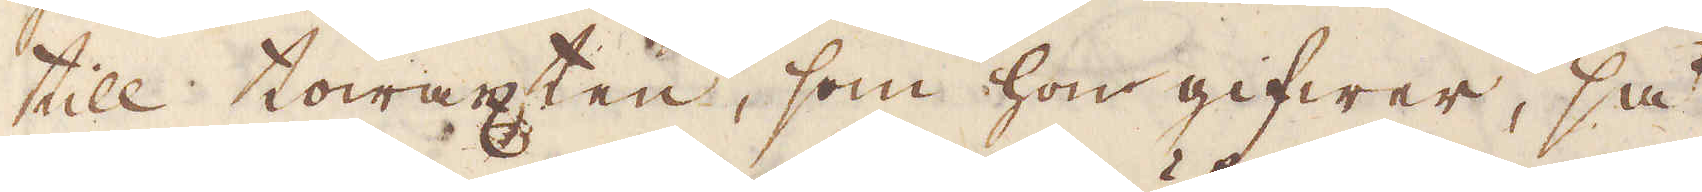till towäxten, som hon gifwer, så
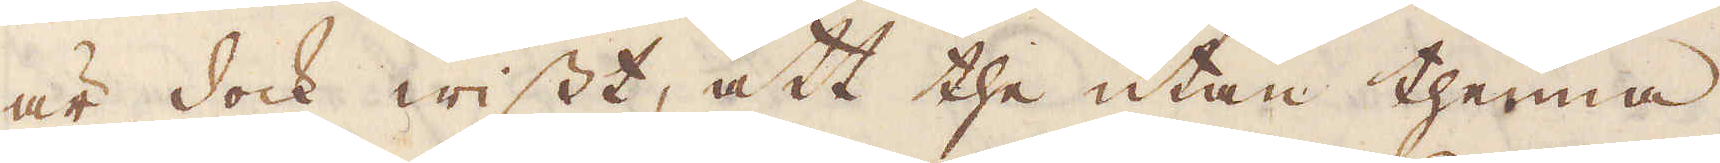är det dock wisst, at the utan thenna
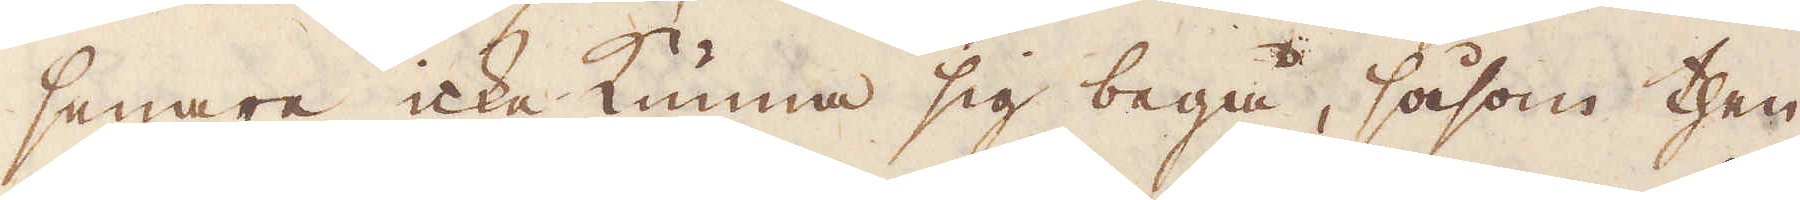senare icke kunna sig begå, såsom then
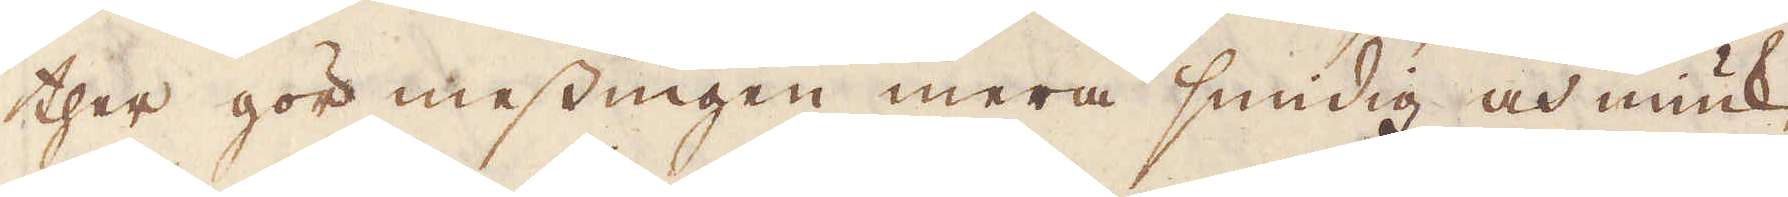ther gör messingen mera smidig och miuk,
